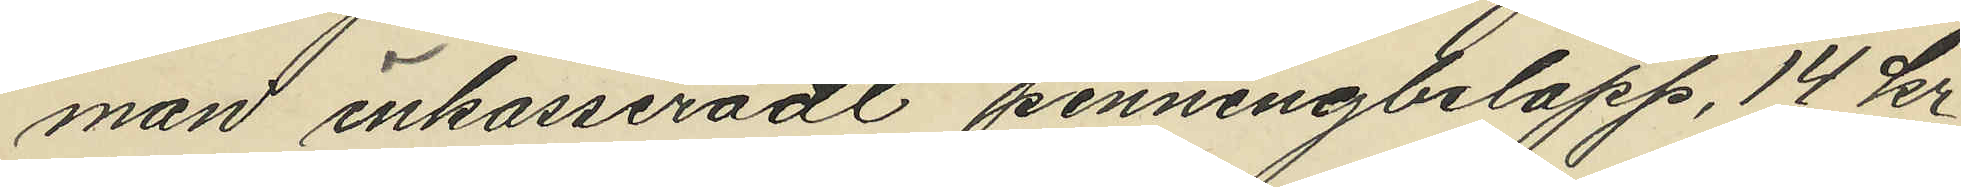man inkasseradt penningbelopp, 14 kr,
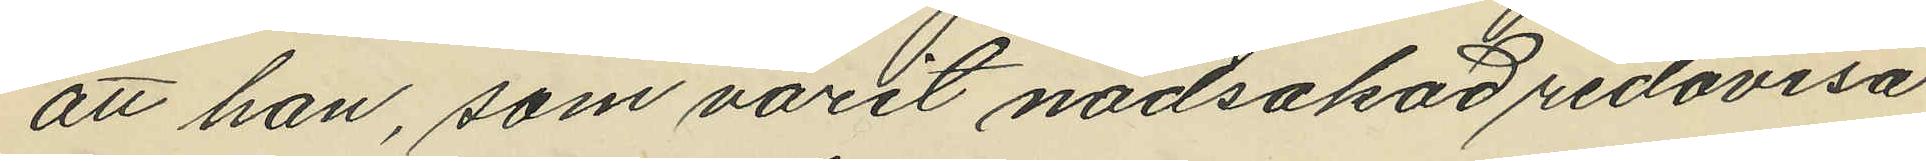att han, som varit nödsakad redovisa
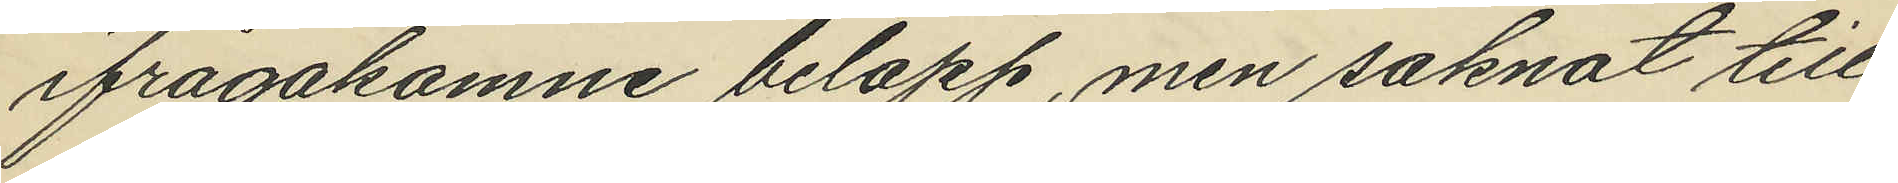ifrågakomne belopp, men saknat till¬
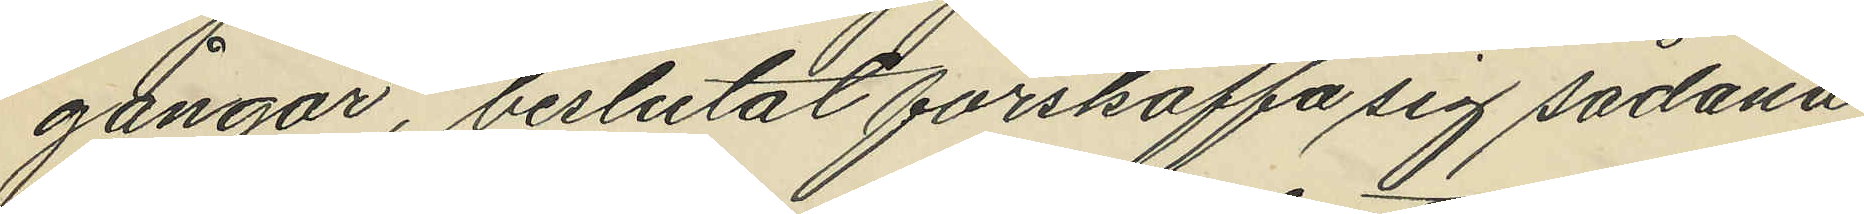gångar, beslutat förskaffa sig sådana
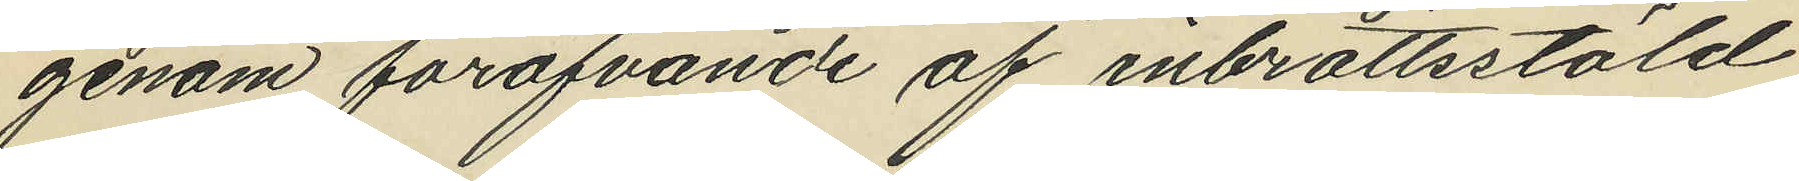genom föröfvande af inbrottsstöld,
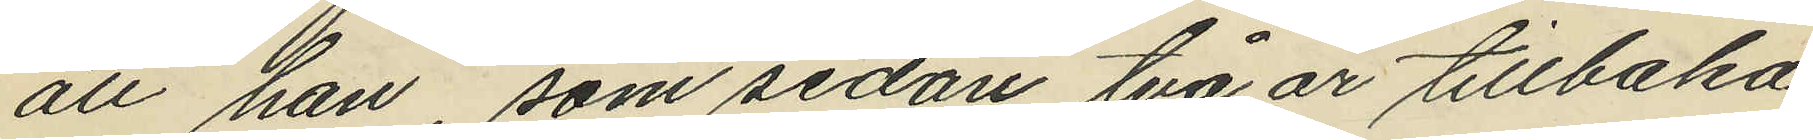att han, som sedan två år tillbaka
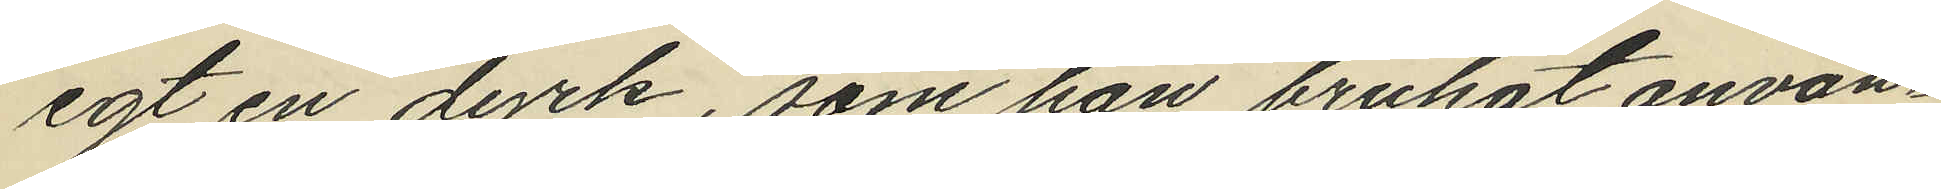egt en dyrk, som han brukat använ¬
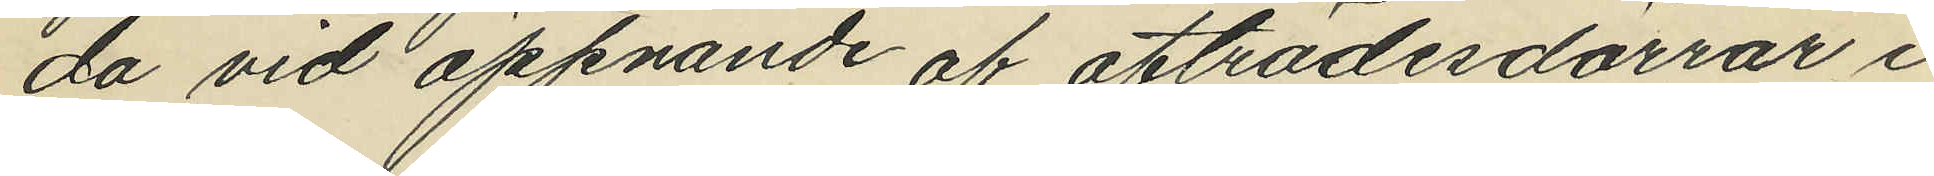da vid öppnande af afträdesdörrar i
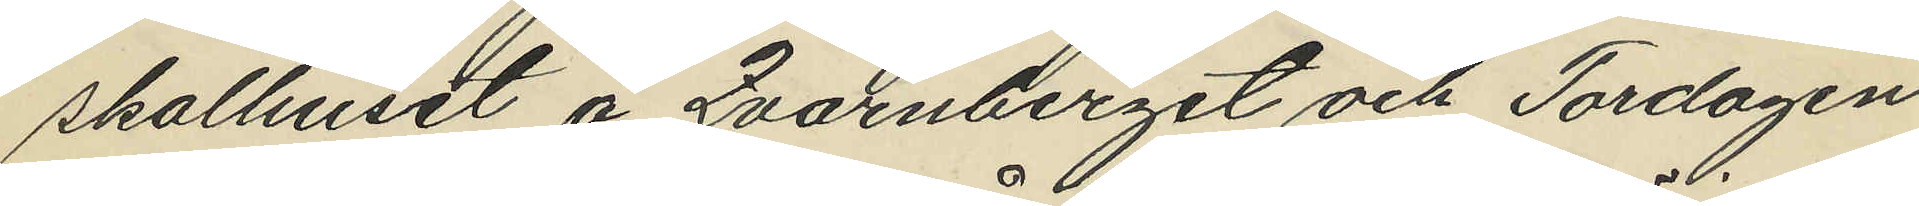skolhuset å Qvarnberget och Tordagen
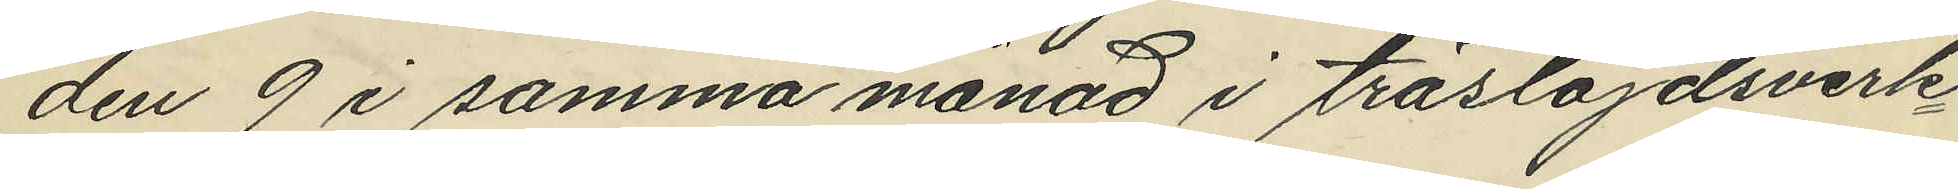den 9 i samma månad i träslöjdsverk¬
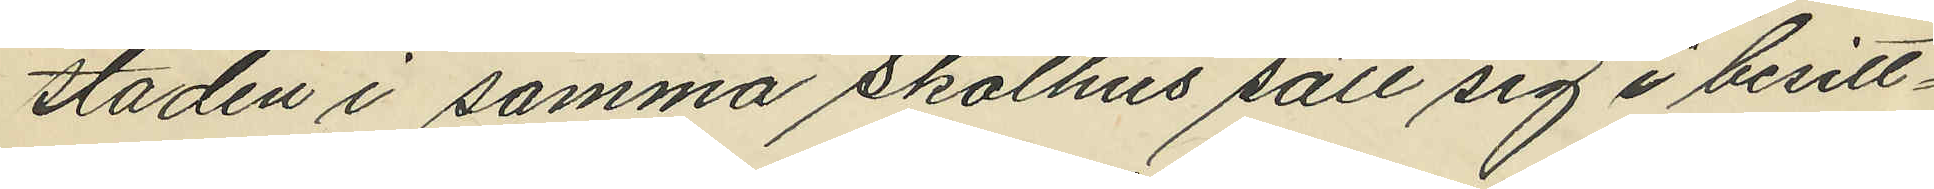staden i samma Skolhus satt sig i besitt¬
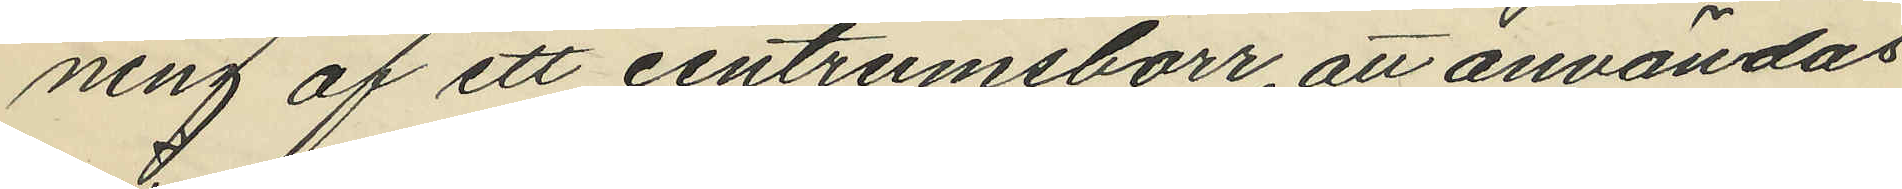ning af ett centrumsborr, att användas
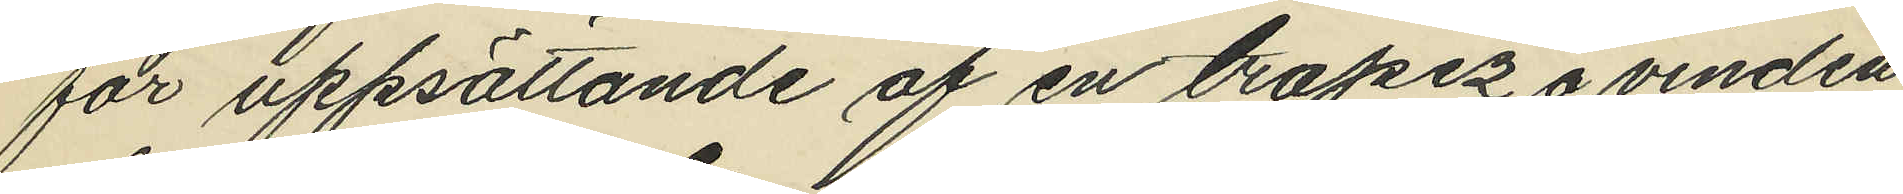för uppsättande af en trapez å vinden
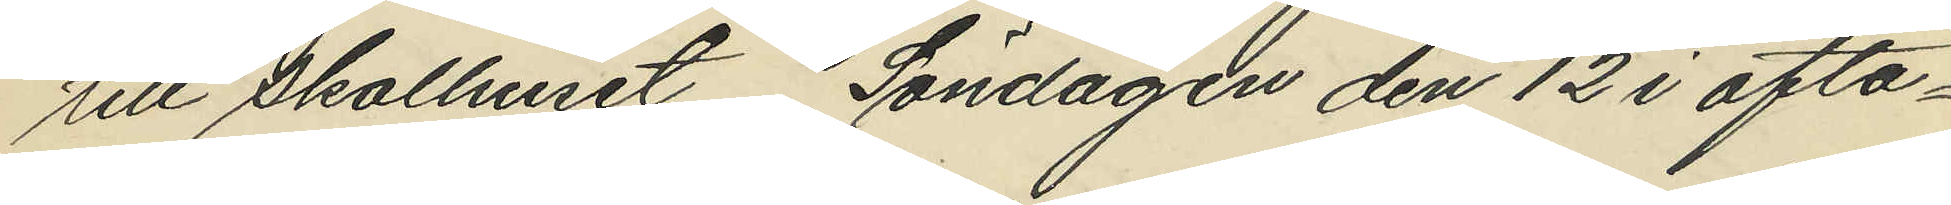till Skolhuset Söndagen den 12 i ofta¬
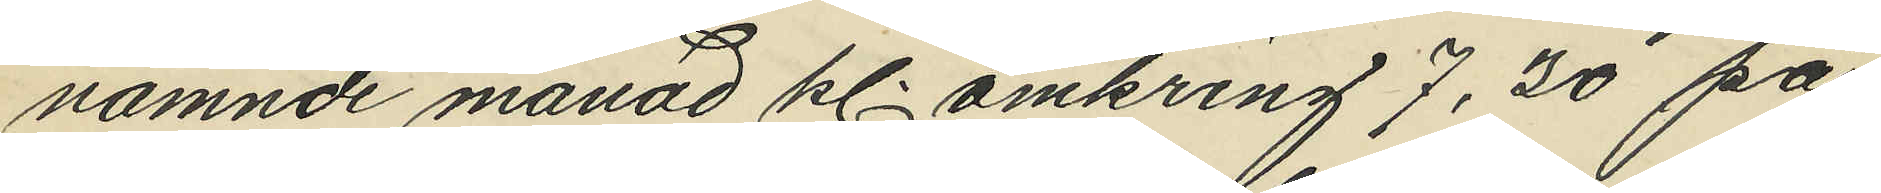nämnde månad kl omkring 7,30 på
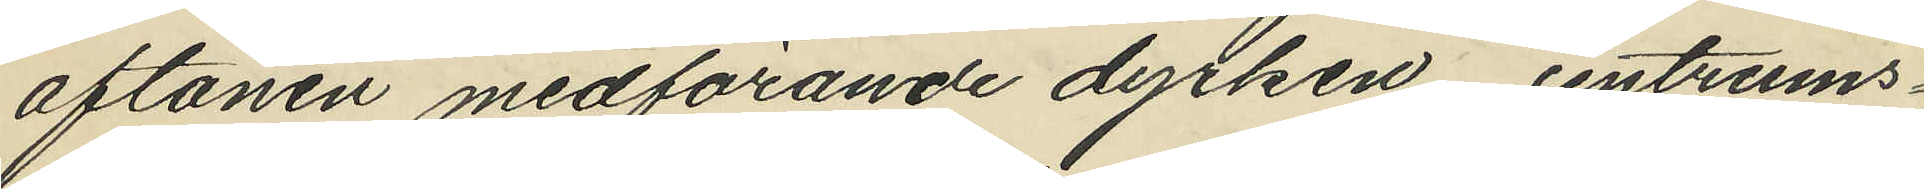aftonen medförande dyrken, centrums¬
